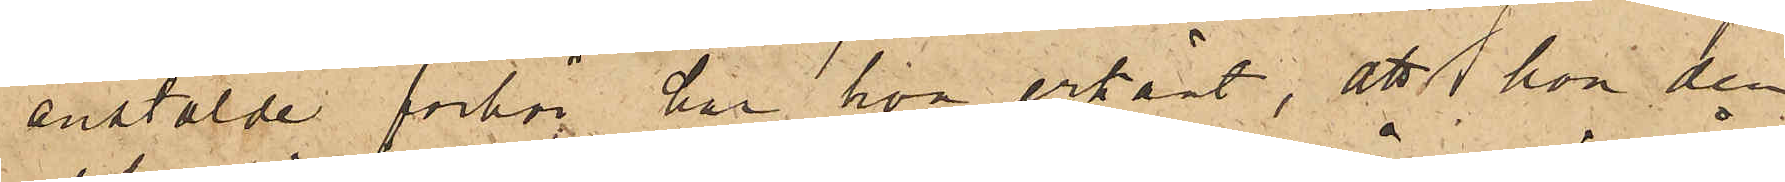anstälde förhör har hon erkänt, att hon den
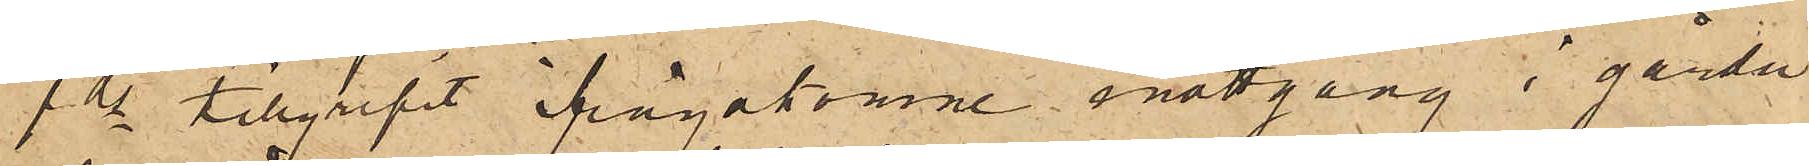1 ds tillgripit ifrågakomne mattgång i gården
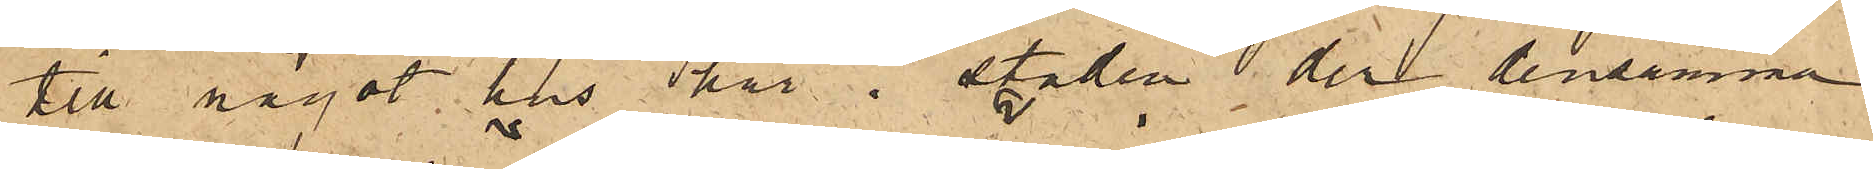till något hus här i staden, der densamma
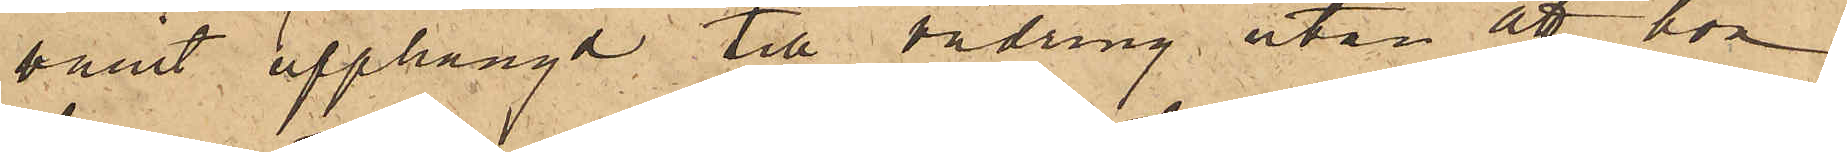varit upphängd till vädring utan att hon
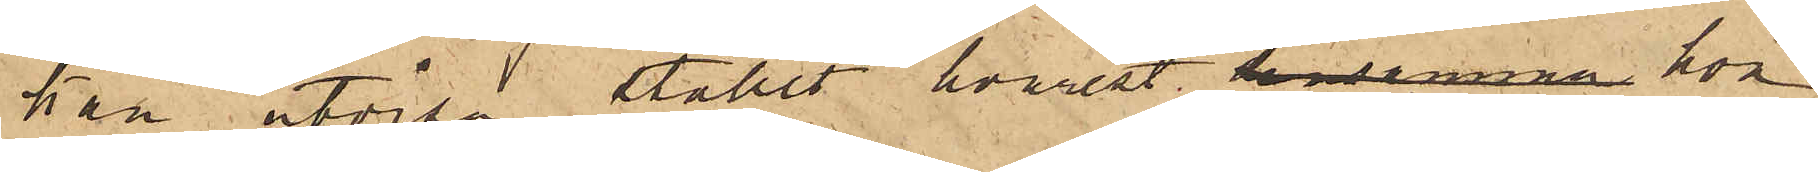kan utvisa stället hvarest densamman hon
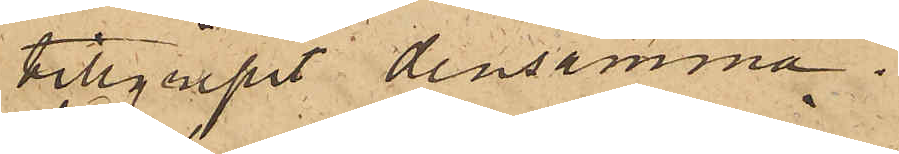tillgripit densamma.
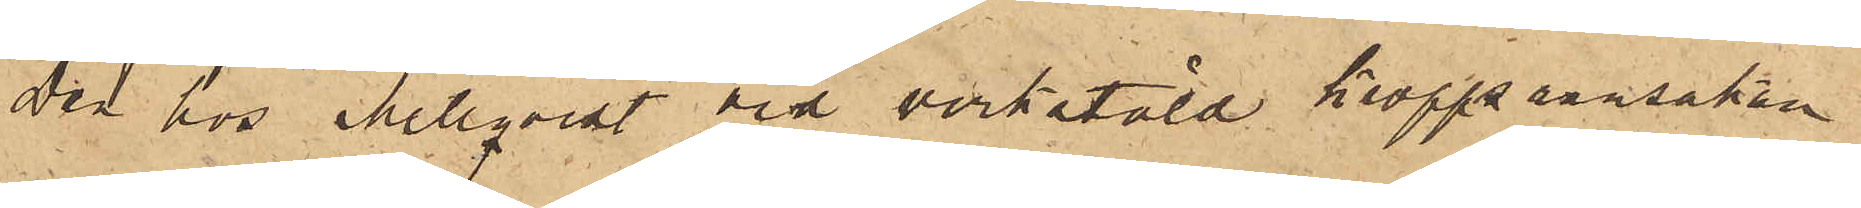Den hos Mellqvist vid verkstäld kroppsransakan
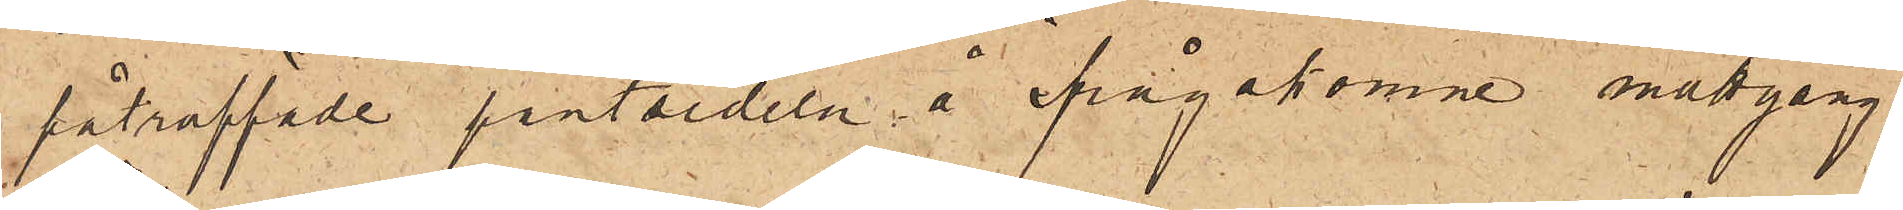påträffade pantsedeln å ifrågakomne mattgång
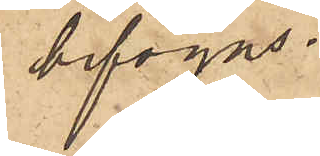bifogas.
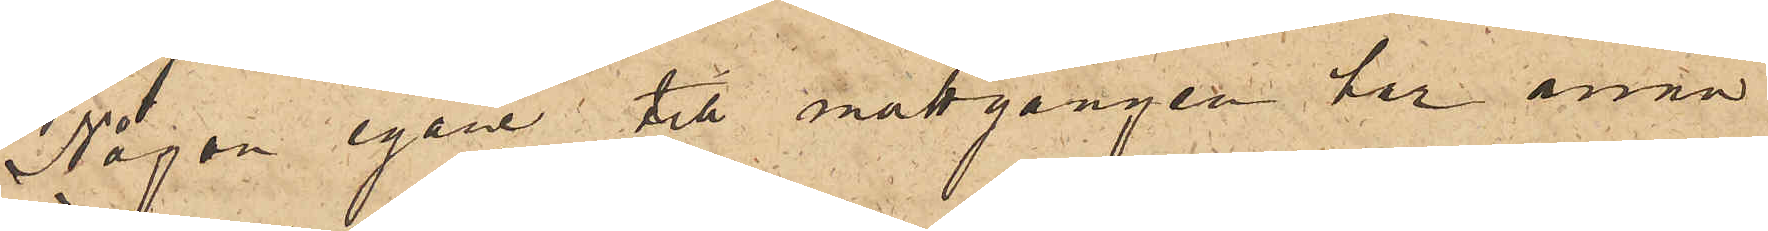Någon egare till mattgången har ännu
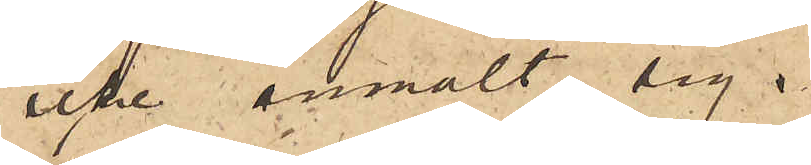icke anmält sig.
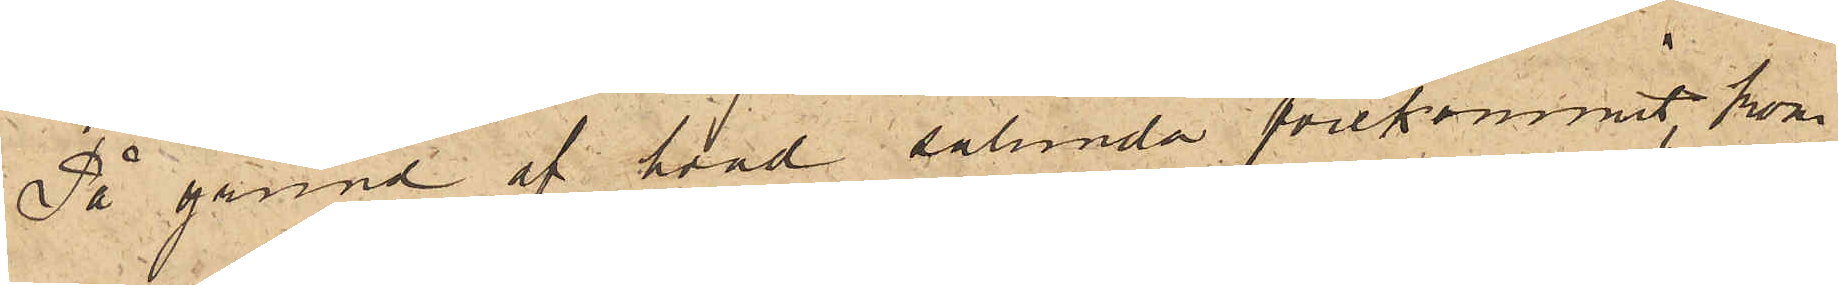På grund af hvad sålunda förekommit, kom¬
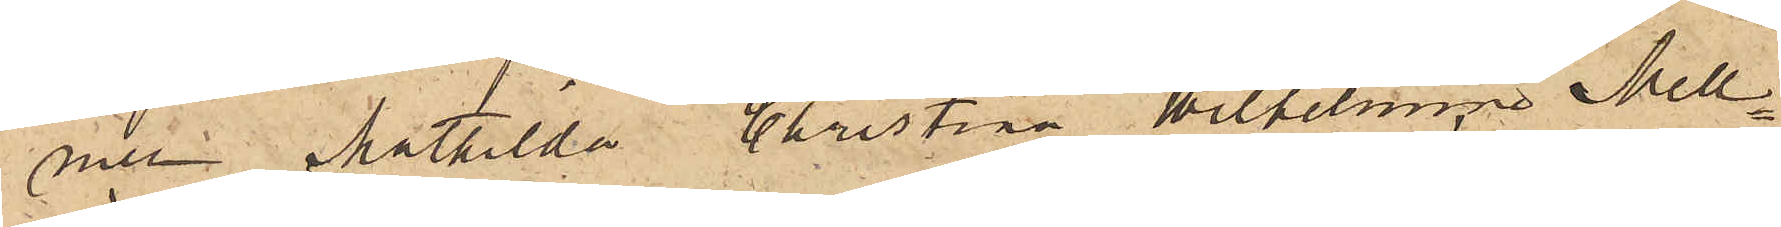mer Mathilda Christina Wilhelmina Mell¬
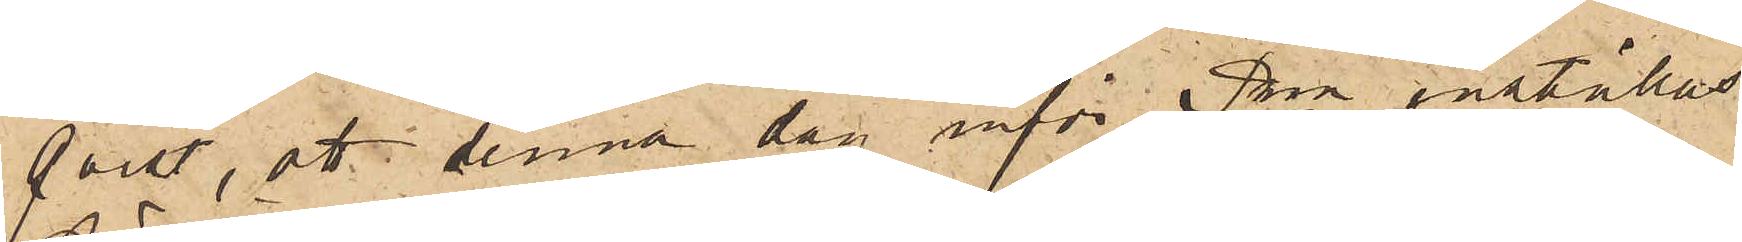qvist, att denna dag inför Pkn inställas
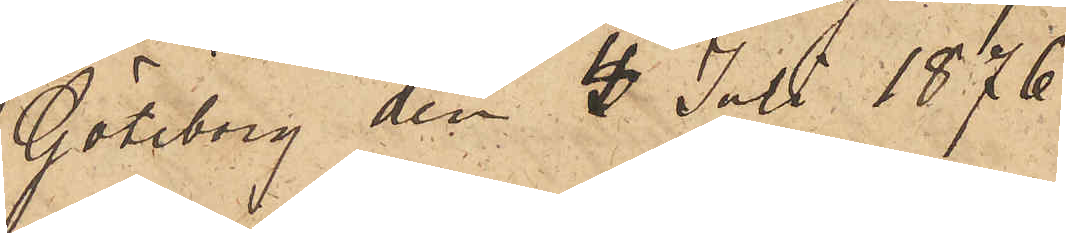Göteborg den 4 Juli 1876.
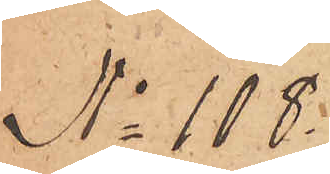No 108.
